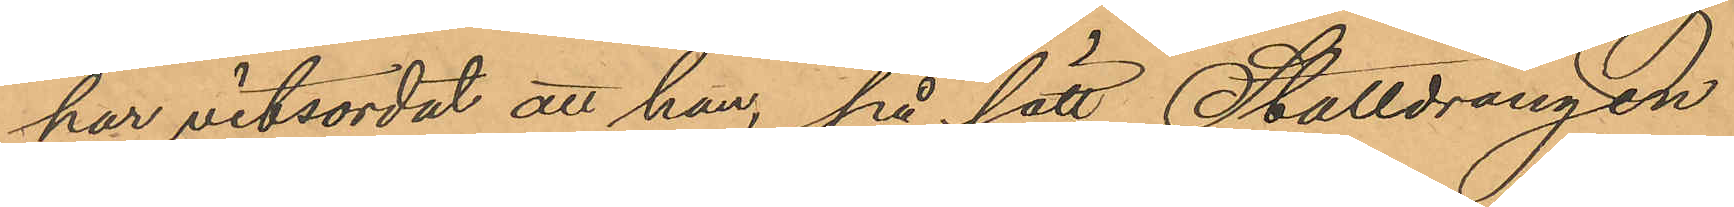har vitsordat att han, på sätt Stalldrängen
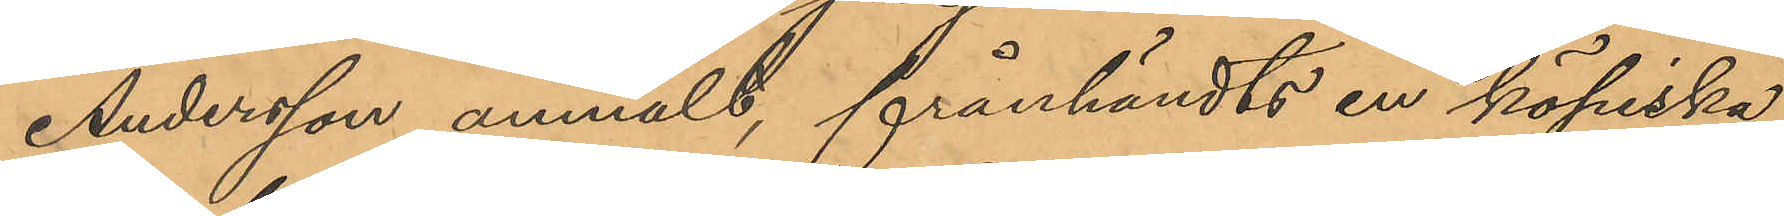Andersson anmält, frånhändts en körpiska,
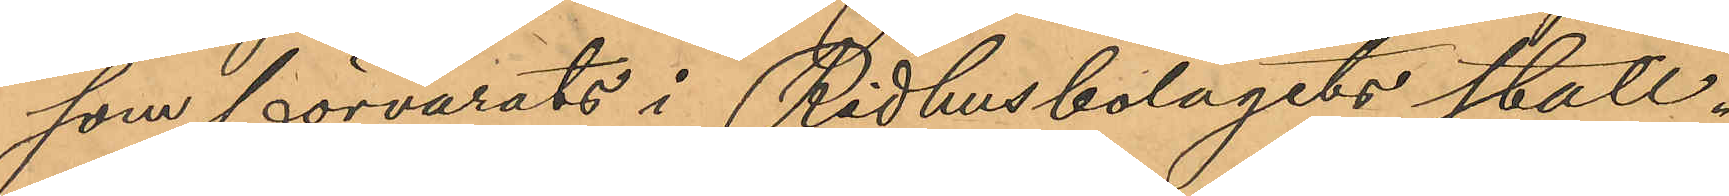som förvarats i Ridhusbolagets stall.
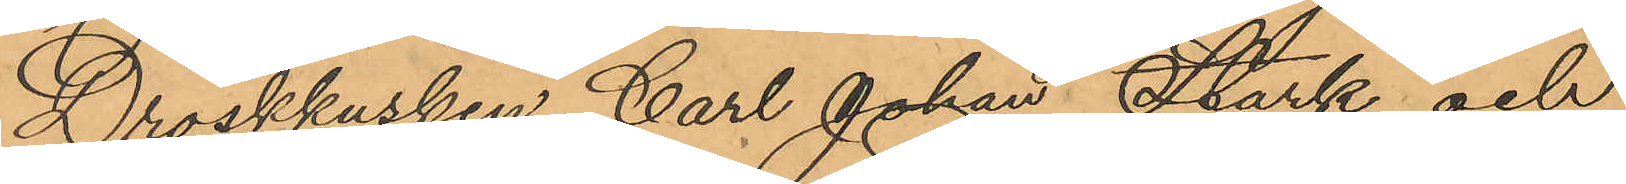Droskkusken Carl Johan Stark och
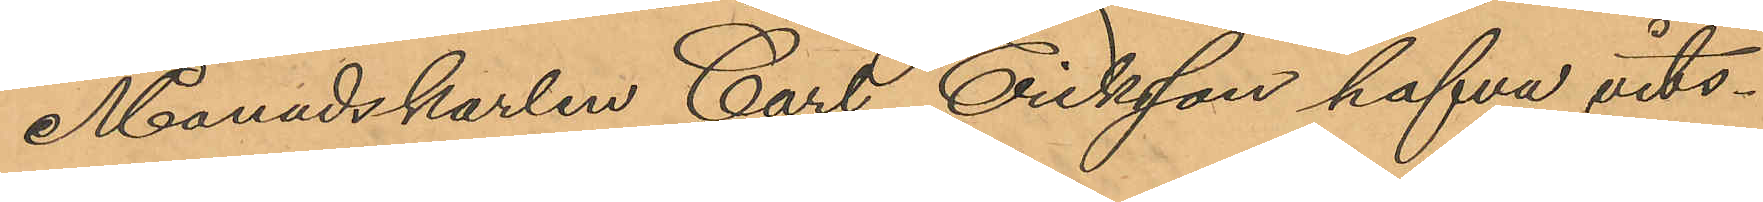Månadskarlen Carl Eriksson hafva vits¬
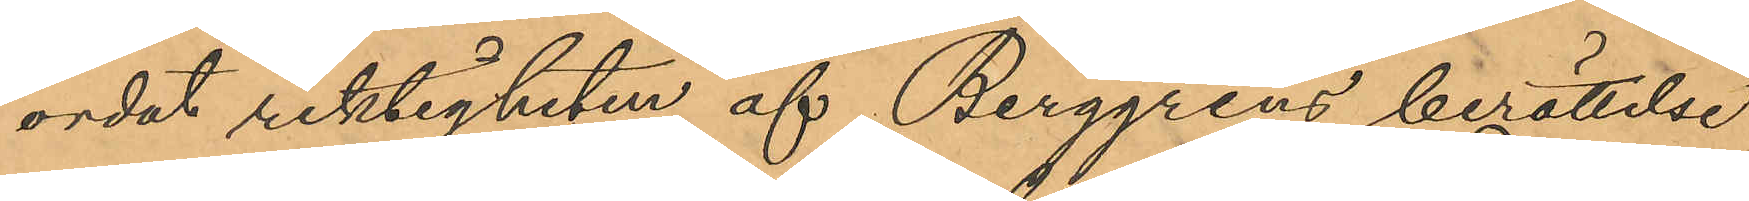ordat riktigheten af Berggrens berättelse
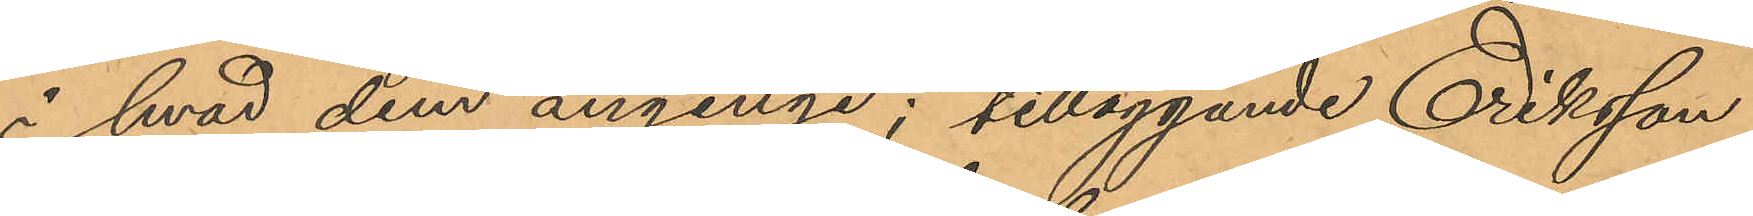i hvad dem anginge; tilläggande Eriksson
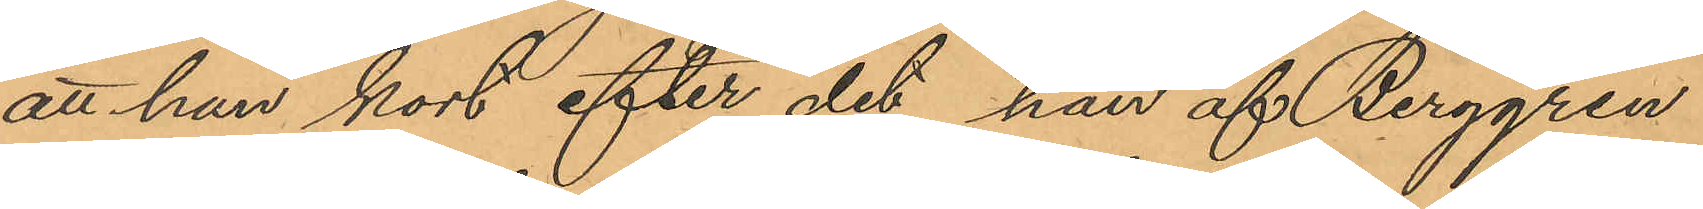att han kort efter det han af Berggren
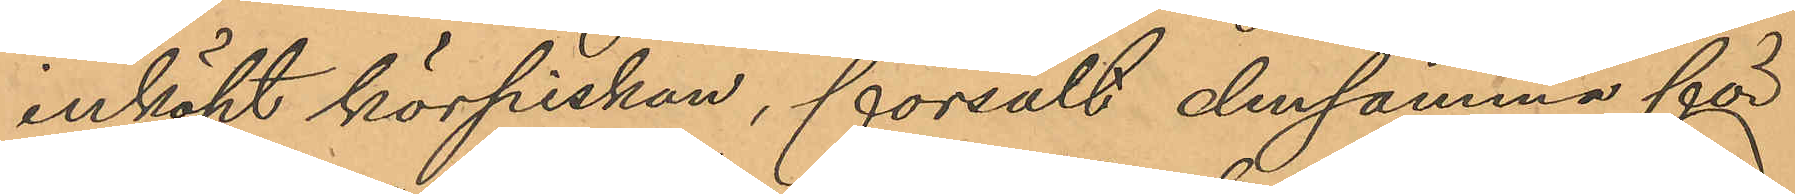inköpt körpiskan, försålt densamma för
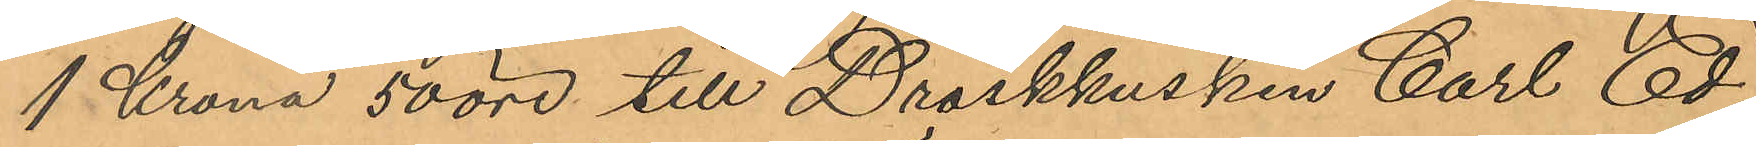1 Krona 50 öre till Droskkusken Carl Ed¬
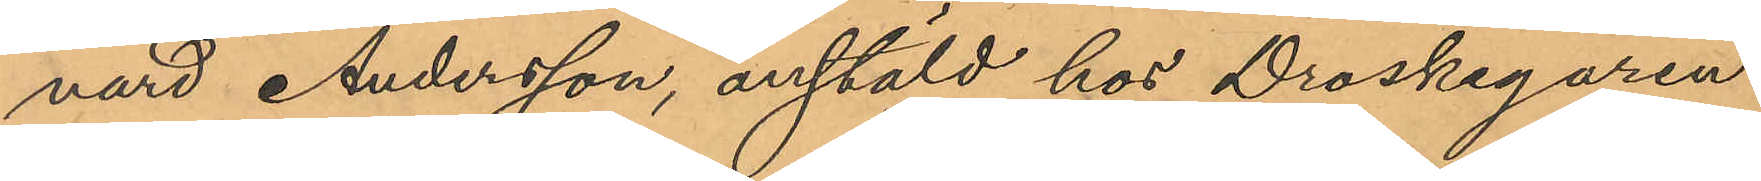nard Andersson, anstäld hos Droskegaren
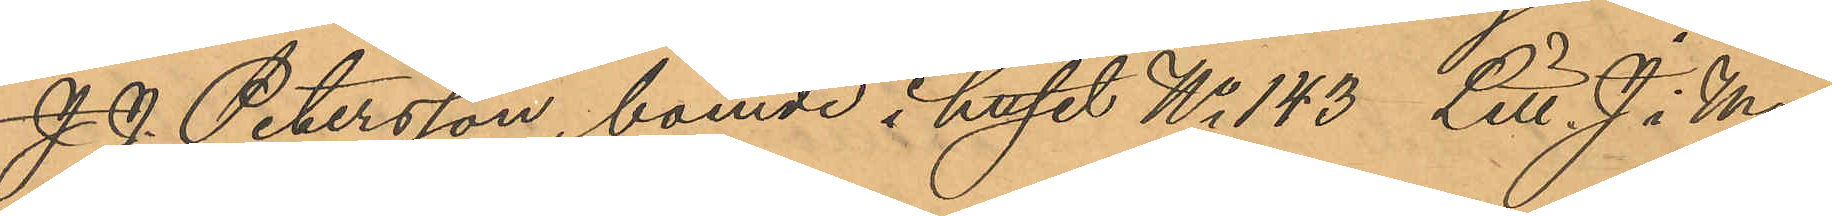J. J. Petersson, boende i huset No 143 Litt J. i Ma¬
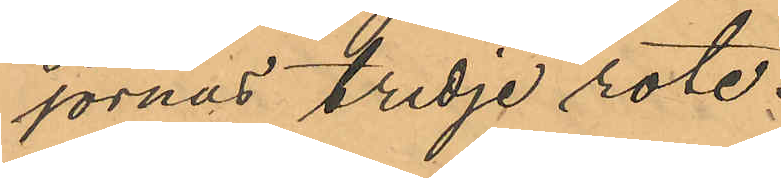jornas tredje rote.
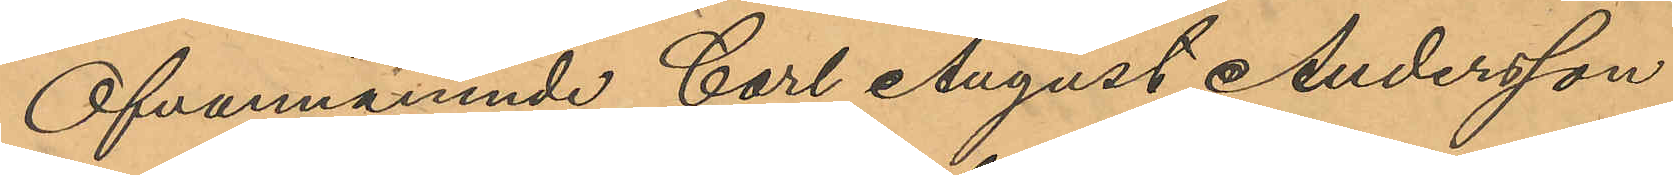Ofvannämnde Carl August Andersson
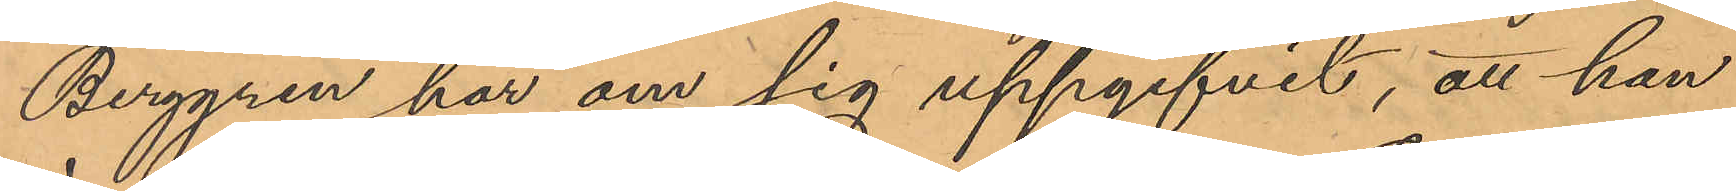Berggren har om sig uppgifvit, att han
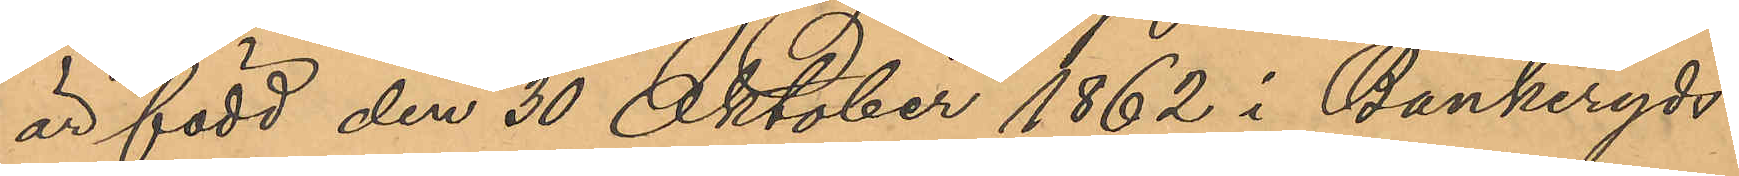är född den 30 Oktober 1862 i Bankeryds
